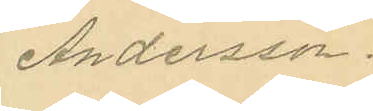Andersson.
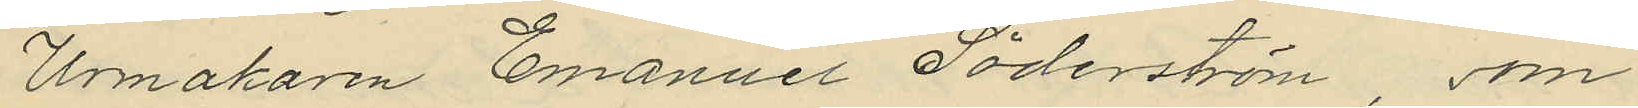Urmakaren Emanuel Söderström, som
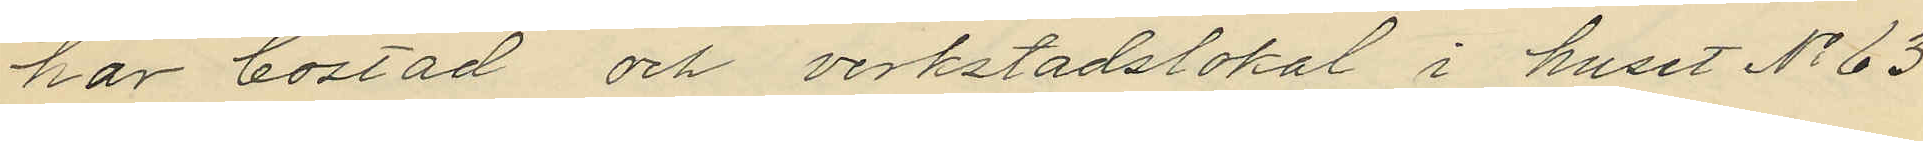har bostad och verkstadslokal i huset No 63
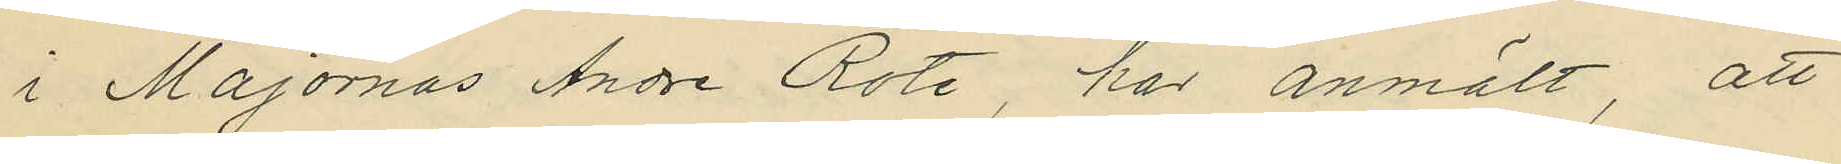i Majornas Andre Rote, har anmält, att
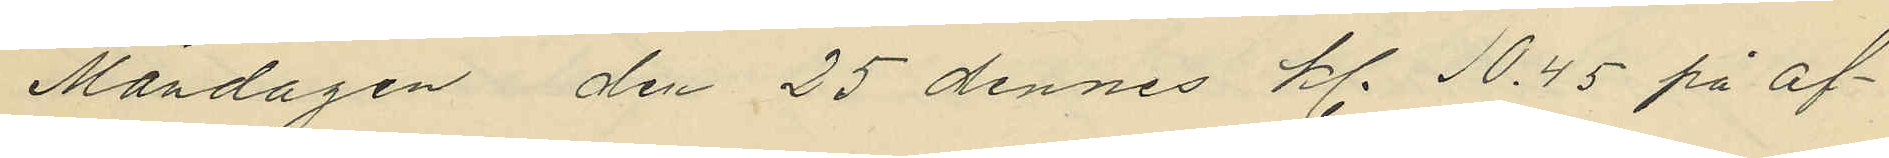Måndagen den 25 dennes kl. 10.45 på af¬
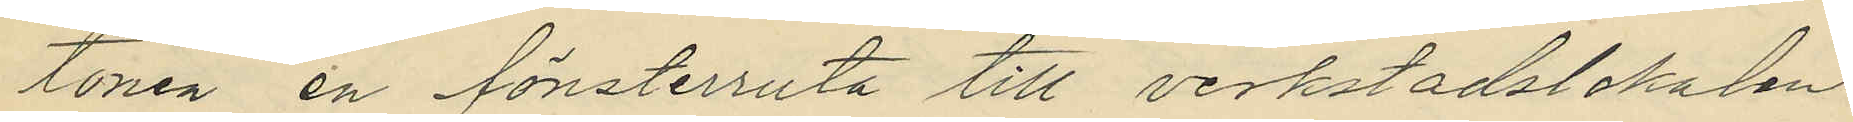tonen en fönsterruta till verkstadslokalen
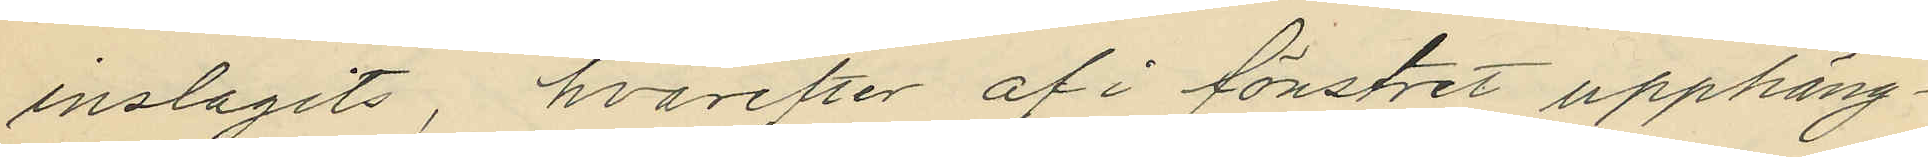inslagits, hvarefter af i fönstret upphäng¬
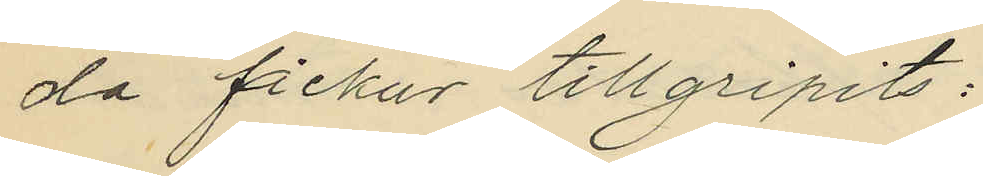da fickur tillgripits:
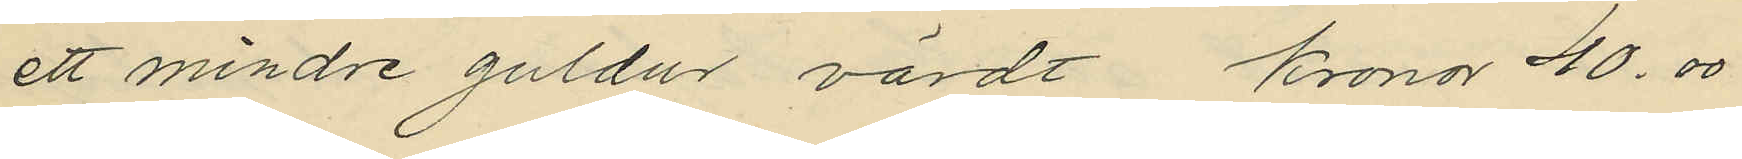ett mindre guldur värdt kronor 40.00
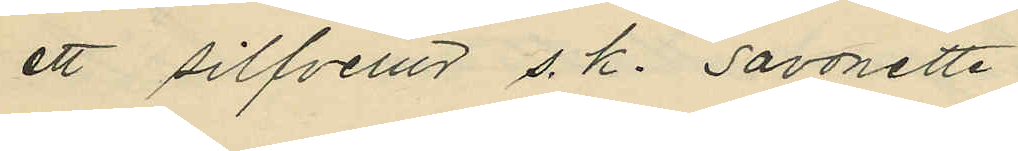ett silfverur s. k. savonette
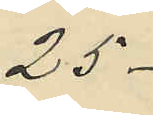25-
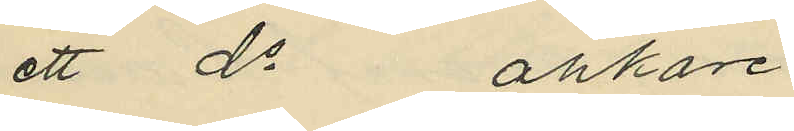ett do ankare
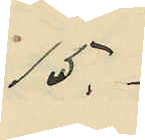15.-
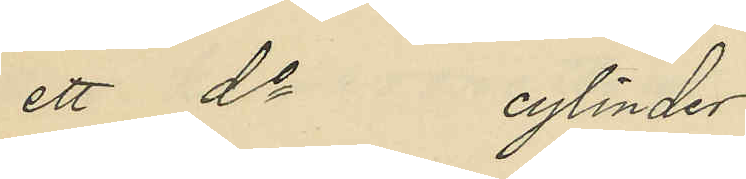ett do cylinder
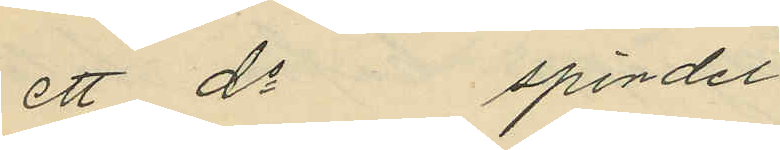ett do spindel
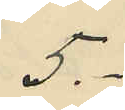5.-
